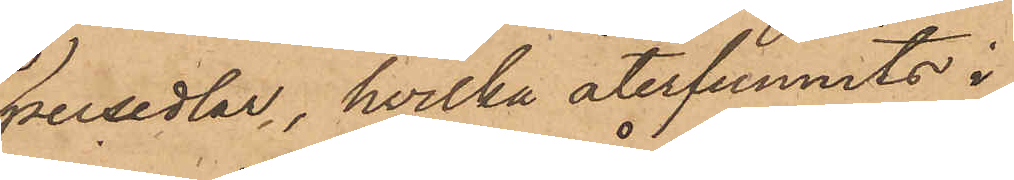persedlar, hvilka återfunnits i
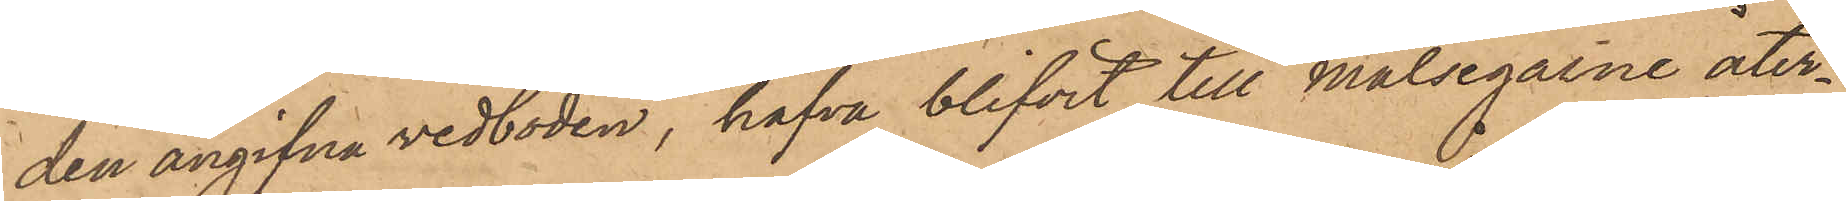den angifna vedboden, hafva blifvit till Målsegarne åter¬
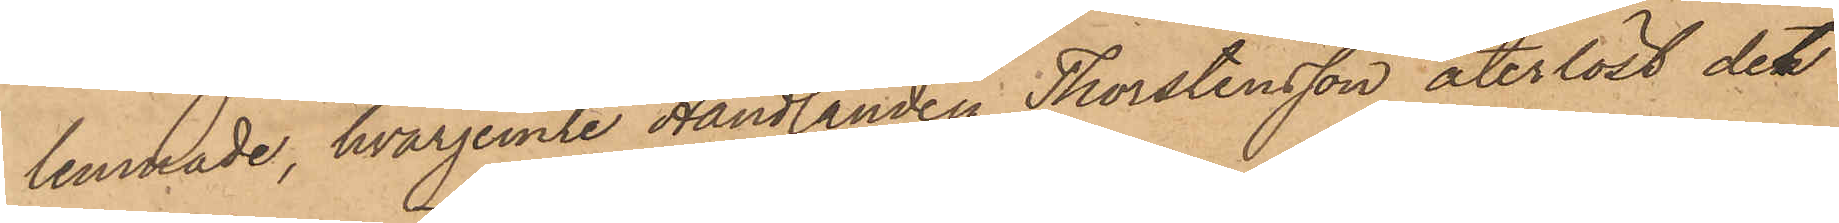lemnade, hvarjemte Handlanden Thorstensson återlöst det
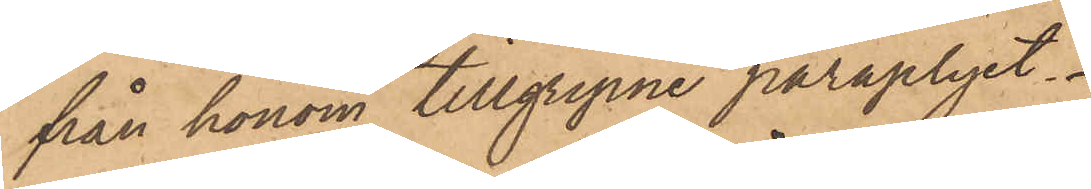från honom tillgripne paraplyet.
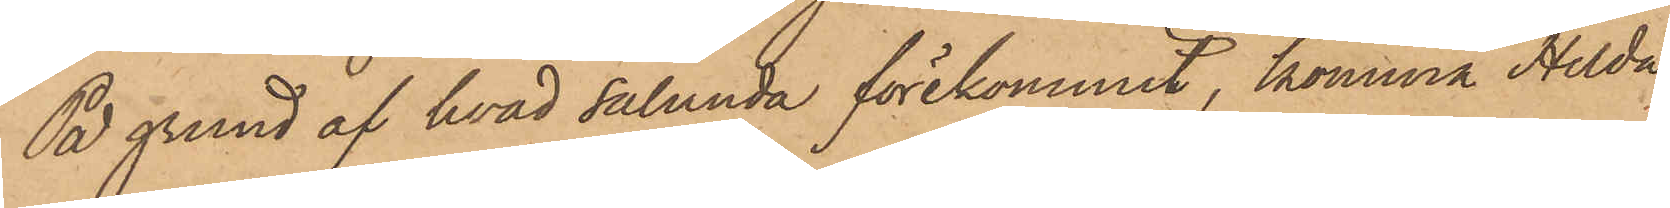På grund af hvad sålunda förekommit, komma Hilda
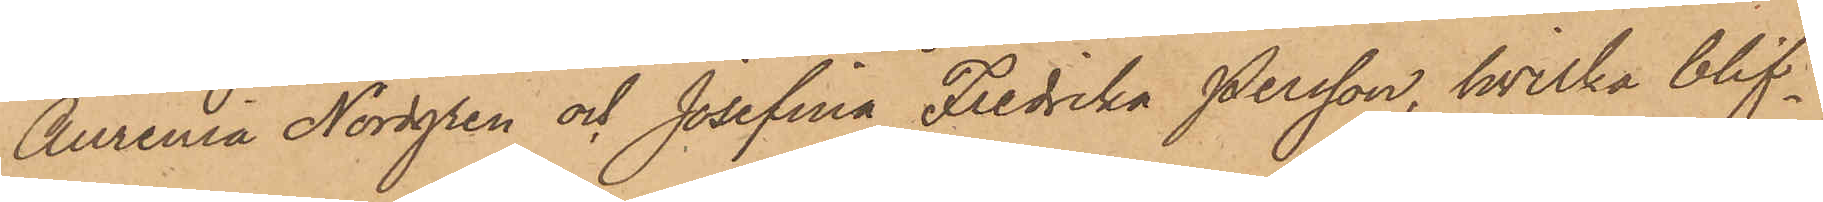Aurenia Nordgren och Josefina Fredrika Persson, hvilka blif¬
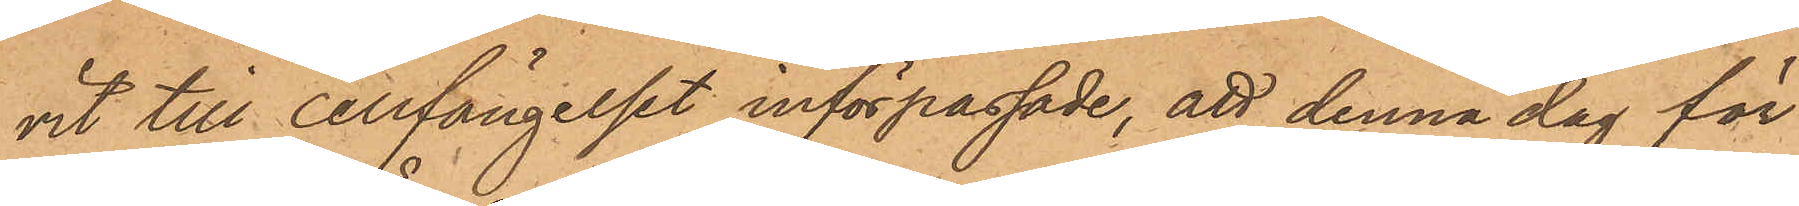vit till cellfängelset införpassade, att denna dag för
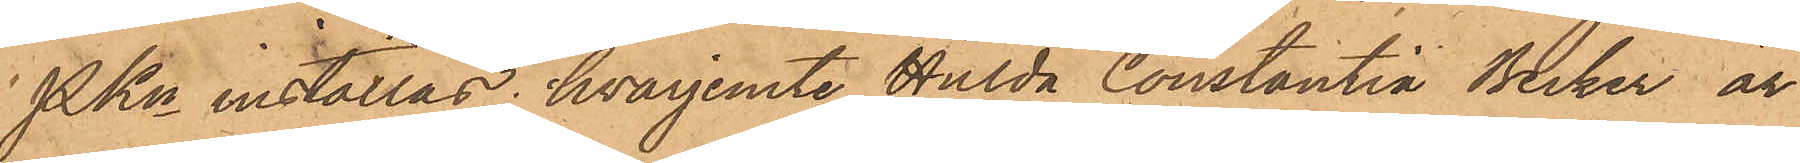PKn inställas, hvarjemte Hulda Constantia Becker är
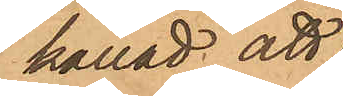kallad att
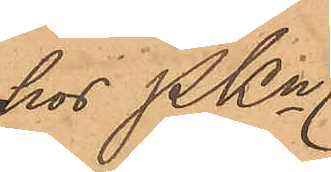hos PKn
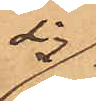sig
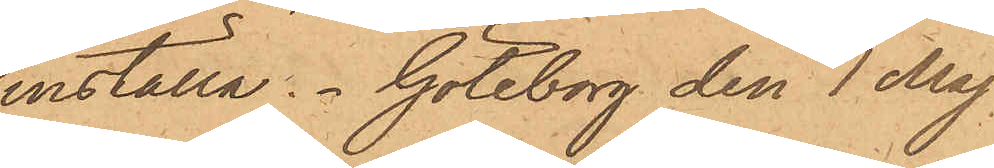inställa. Göteborg den 1 Maj
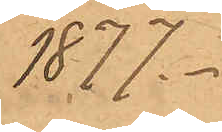1877.
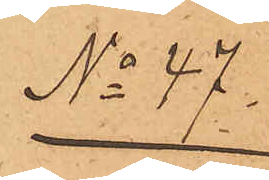No 47
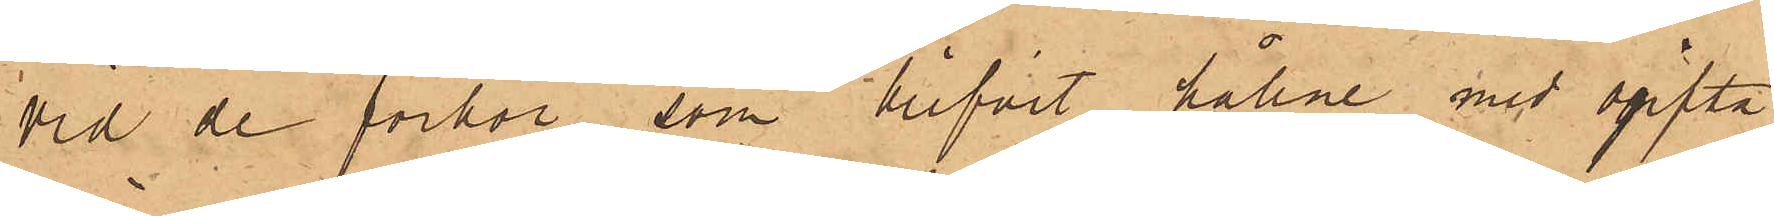Vid de förhör, som blifvit hållne med ogifta
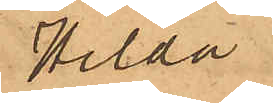Hilda
